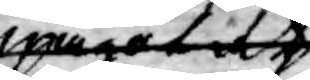något at
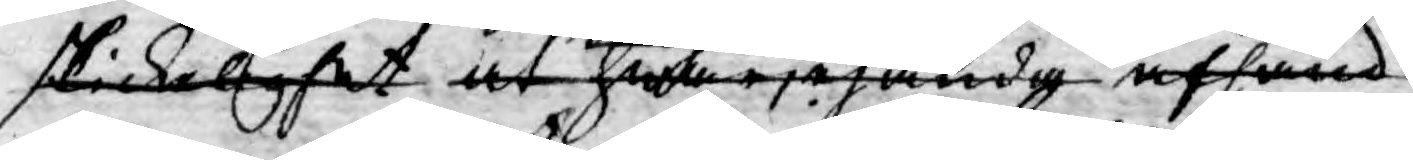skickelighet at hwarjehanda afhand¬
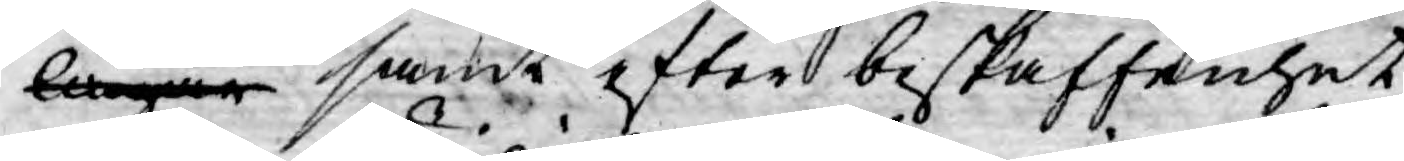lingar samt efter beskaffenhet
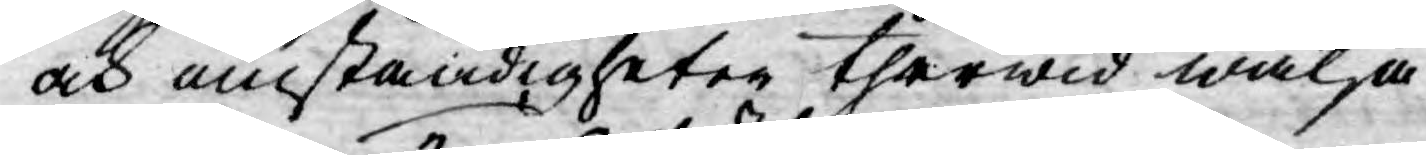och omständigheter therwid wälja
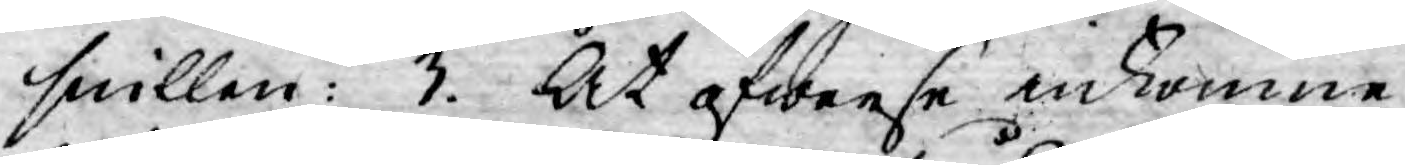snillen: 3. At öfwerse inkomne
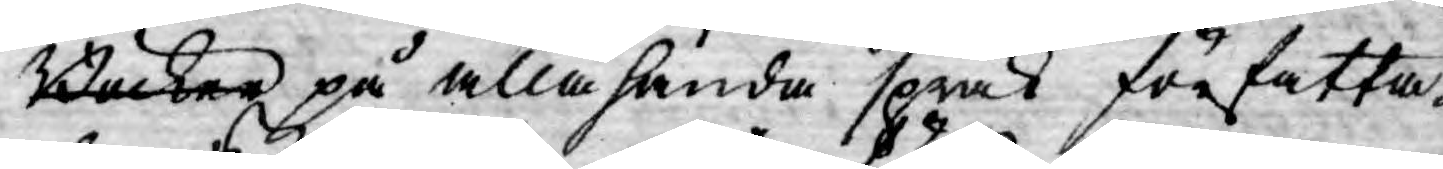Böcker på allahanda språk författa¬
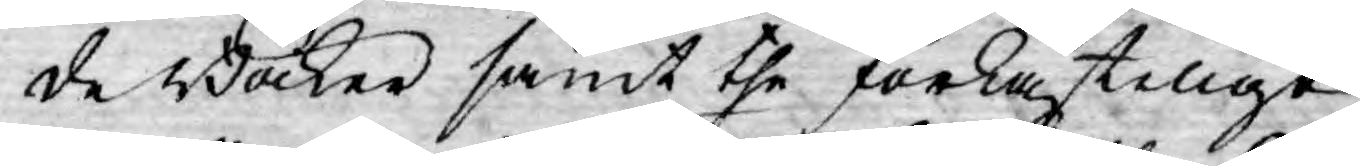de Böcker samt the förkastelige
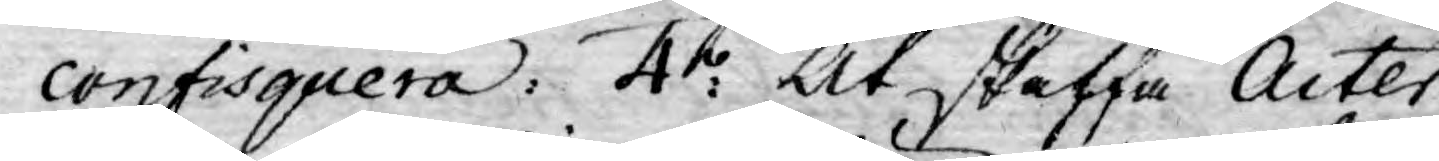confisquera: 4:o At skaffa Acter
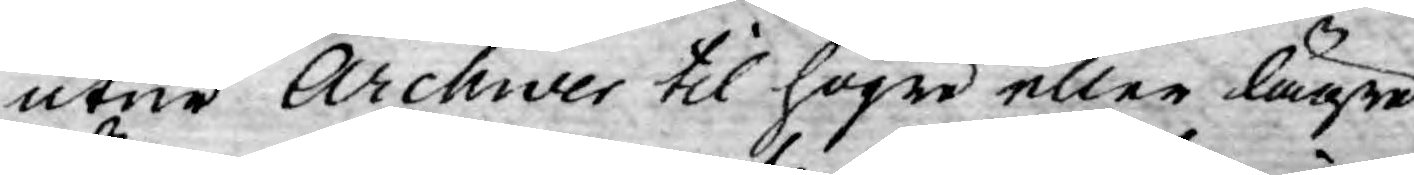utur Archiver til högre eller lägre
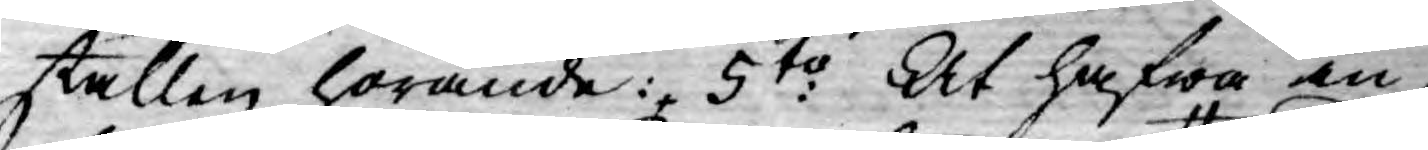ställen hörande: 5to: At hafwa in¬
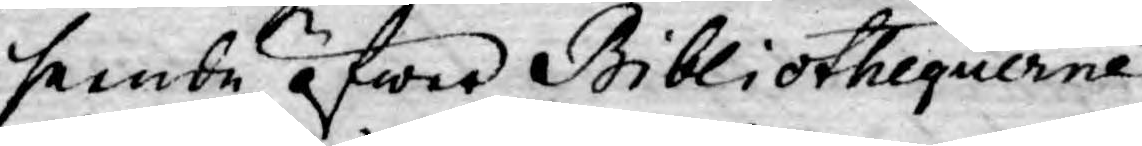seende öfwer Bibliothequerne
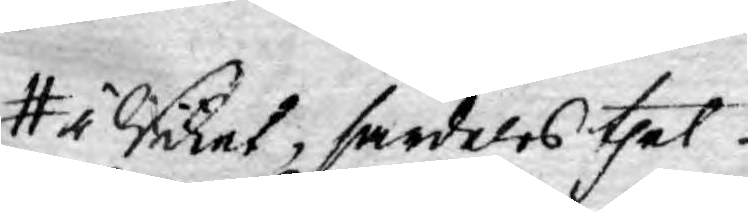i Riket, särdeles thet
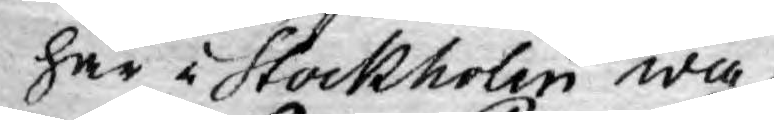här i Stockholm wa¬
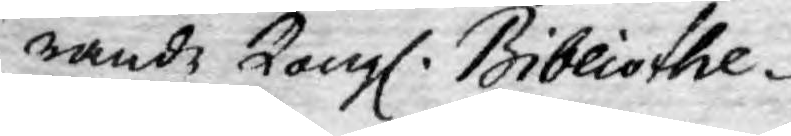rande Kongl. Bibliothe-
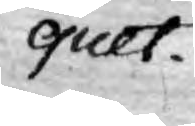quet.
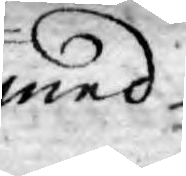med
